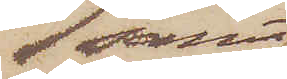samt
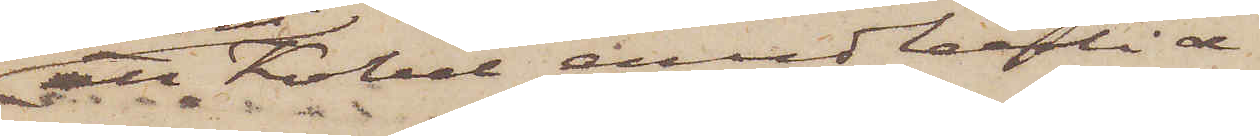att Kobel emedlertid
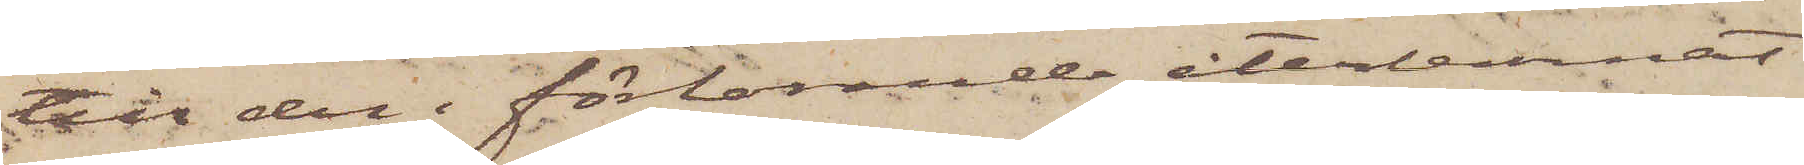till den förlorande återlemnat
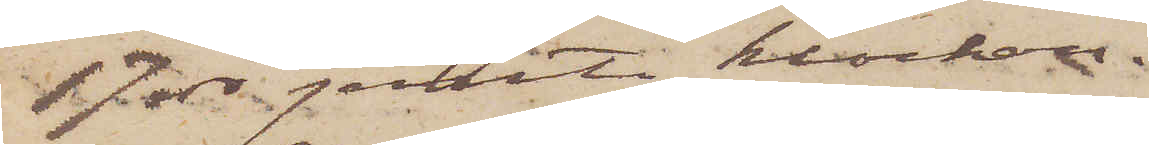17 rdr jemte klockan.
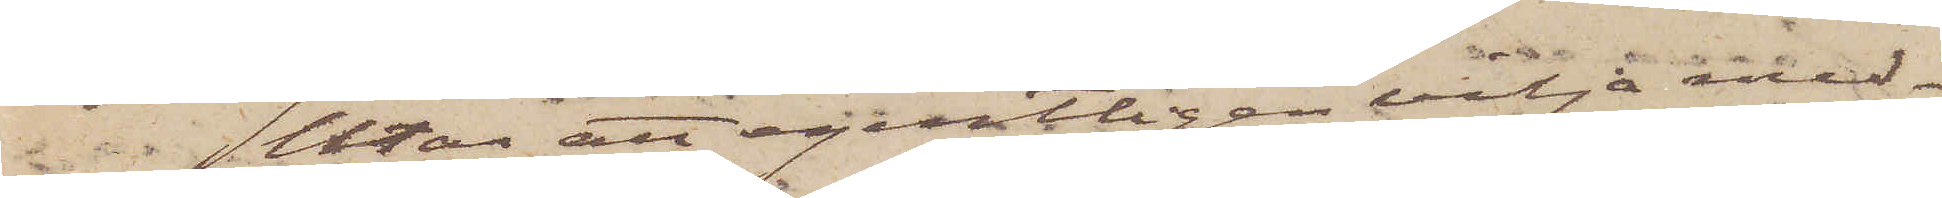Utan att egentligen vilja med¬
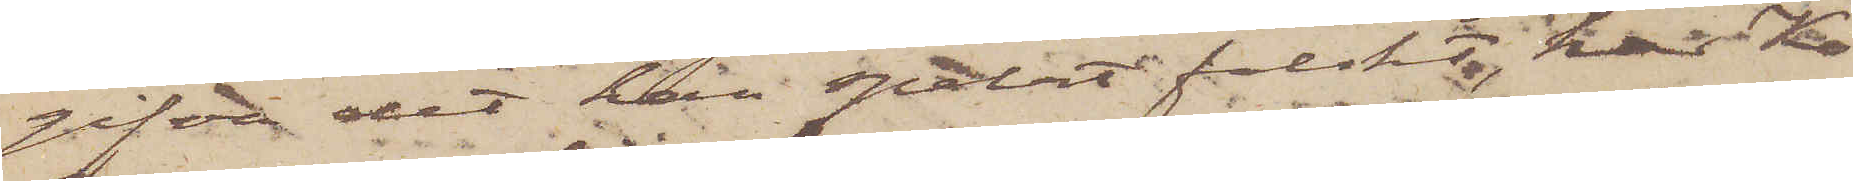gifva det han spelat falskt, har Ko¬
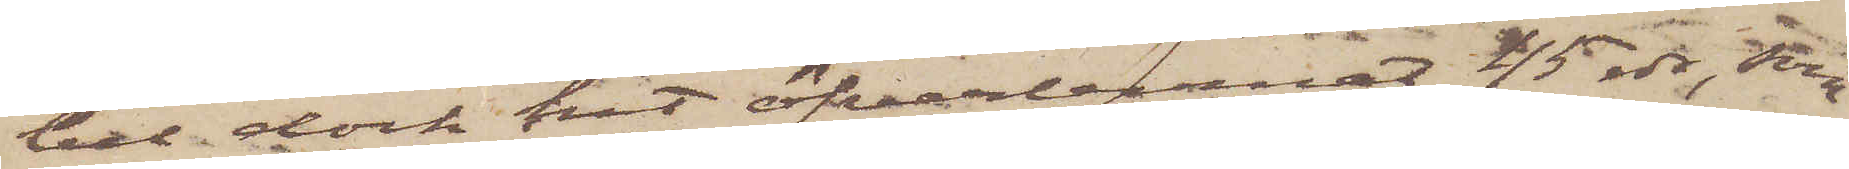bel dock hit öfverlemnat 45 rdr, som
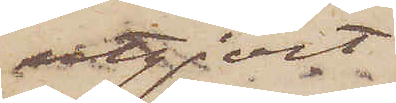utgjort
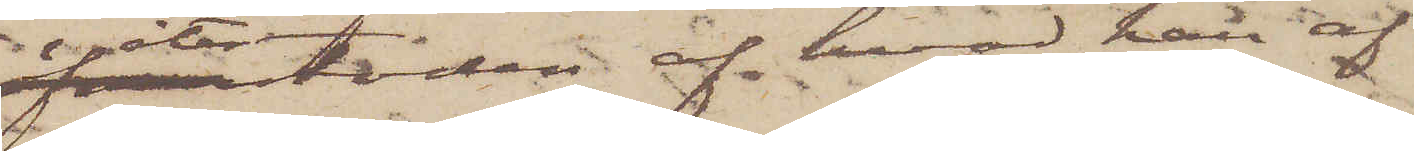återstoden af hvad han af
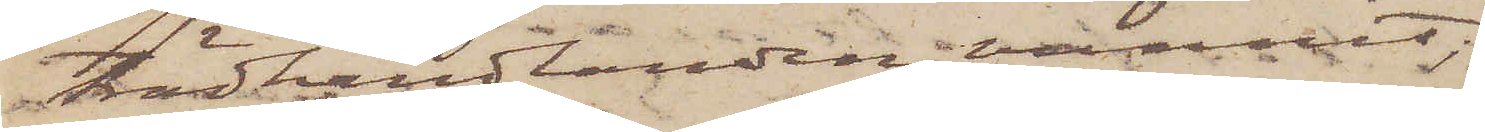trädhandlanden vunnit;
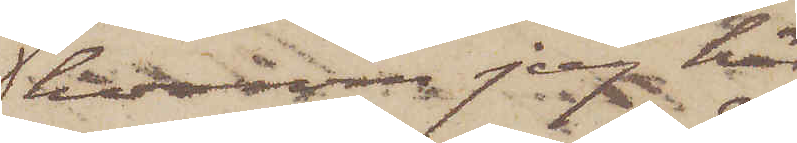hvarom jag här¬
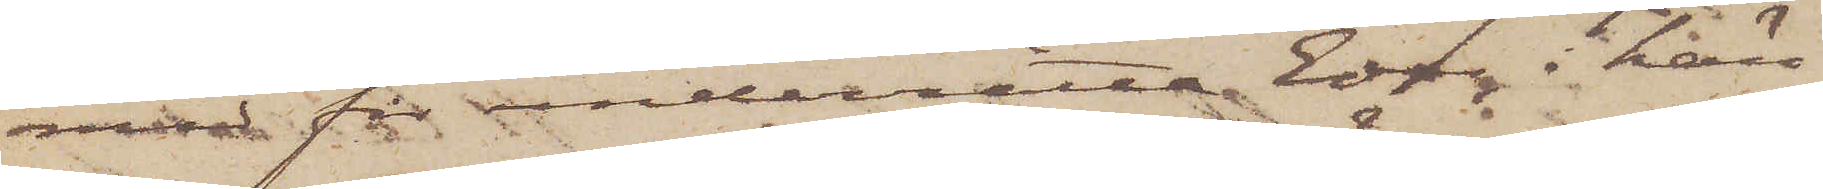med får underrätta Eder i hän¬
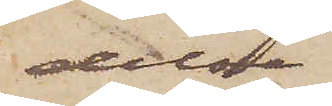delse
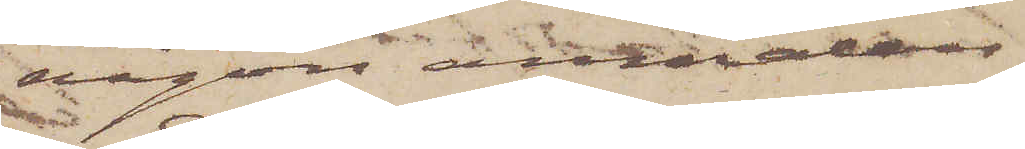någon anmälan
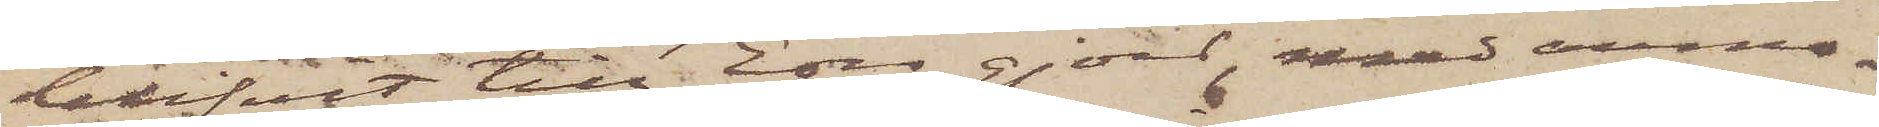blifvit till Eder gjord, med anmo¬
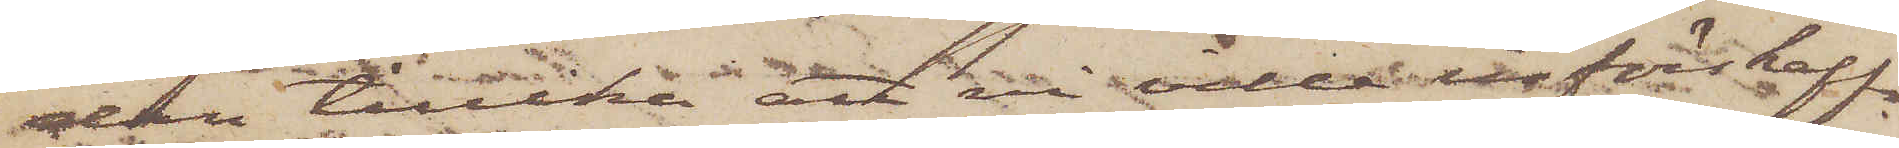dan tillika att ni ville införskaffa
